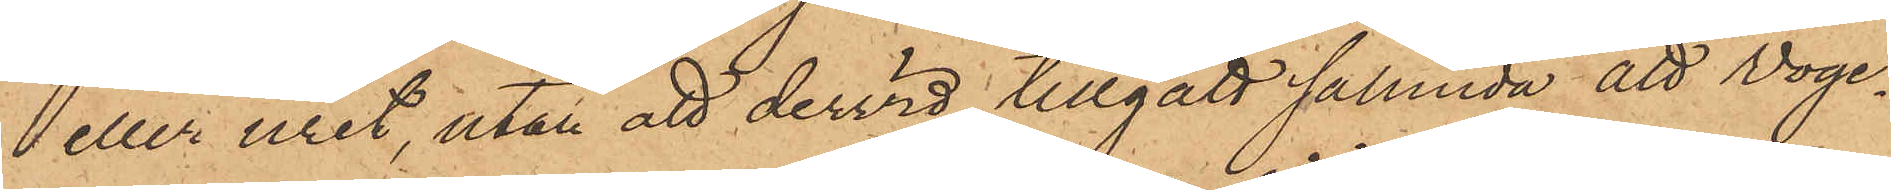eller uret, utan att dervid tillgått sålunda att  Woge¬
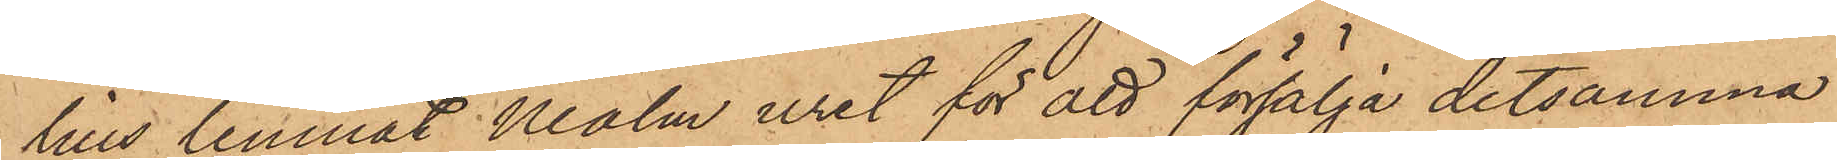lius lemnat Malm uret för att försälja detsamma
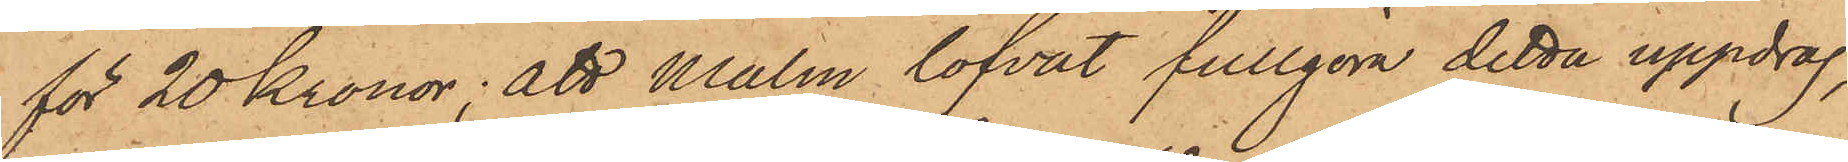för 20 Kronor; att Malm lofvat fullgöra detta uppdrag,
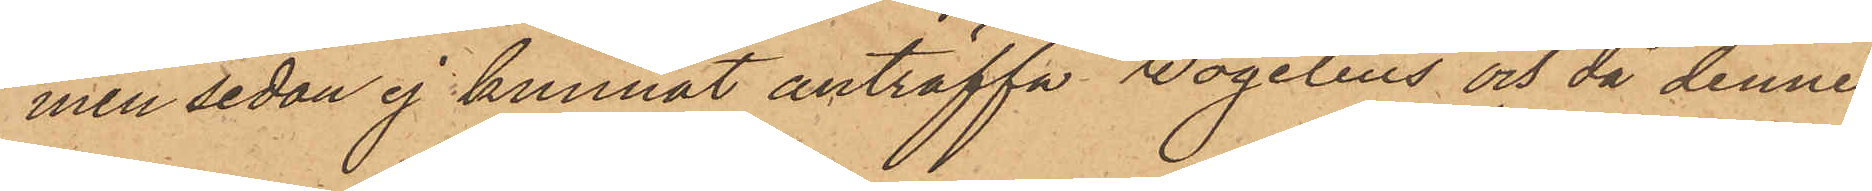men sedan ej kunnat anträffa Wogelius och då denne
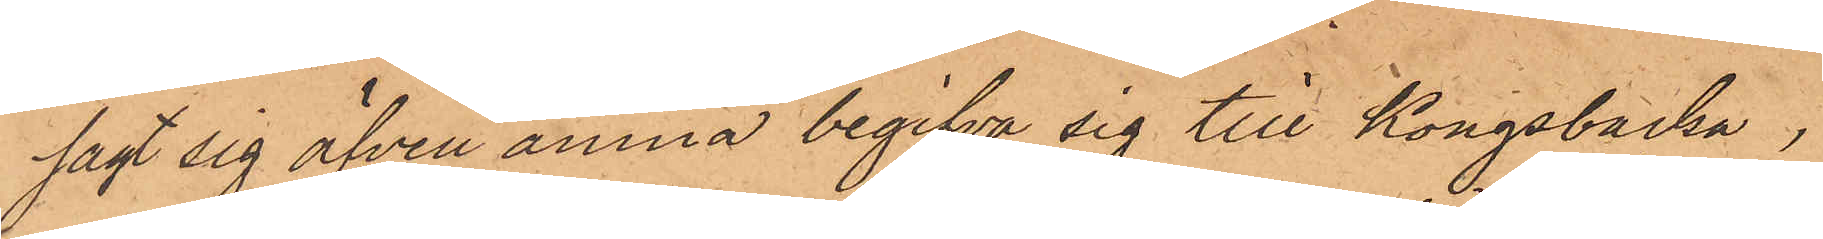sagt sig äfven ämna begifva sig till Kongsbacka,
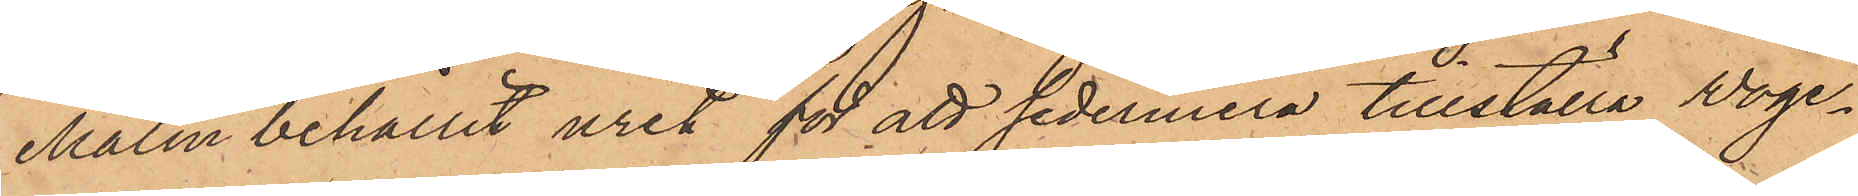Malm behållit uret för att sedermera tillställa Woge¬
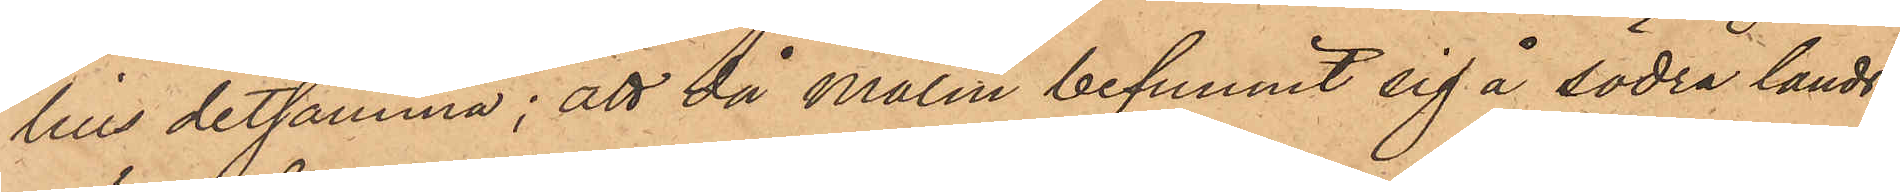lius detsamma; att då Malm befunnit sig å södra lands¬
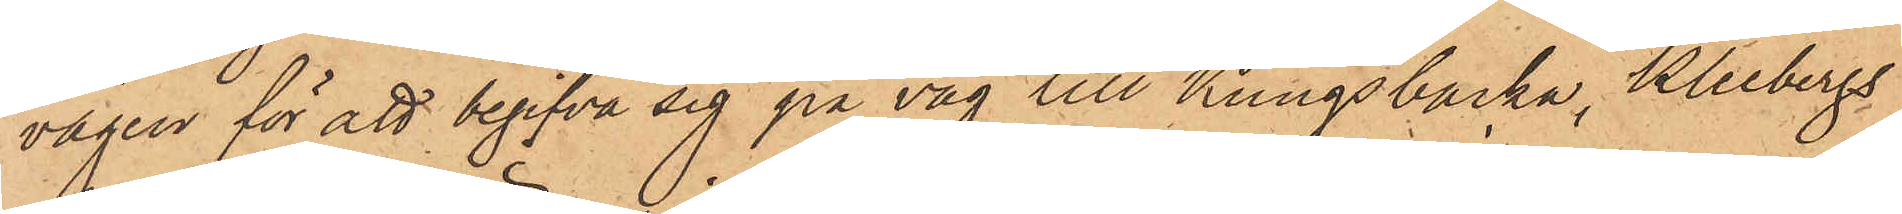vägen för att begifva sig på väg till Kungsbacka, Kleebergs
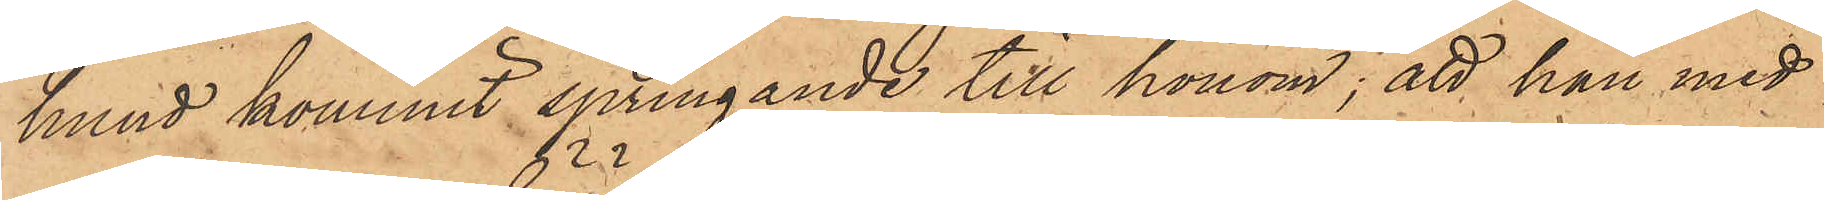hund kommit springande till honom; att han med
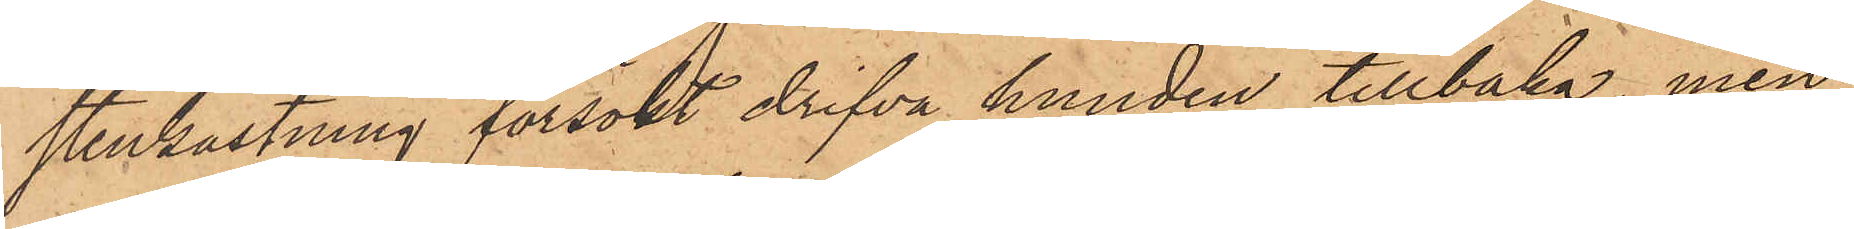stenkastning försökt drifva hunden tillbaka, men
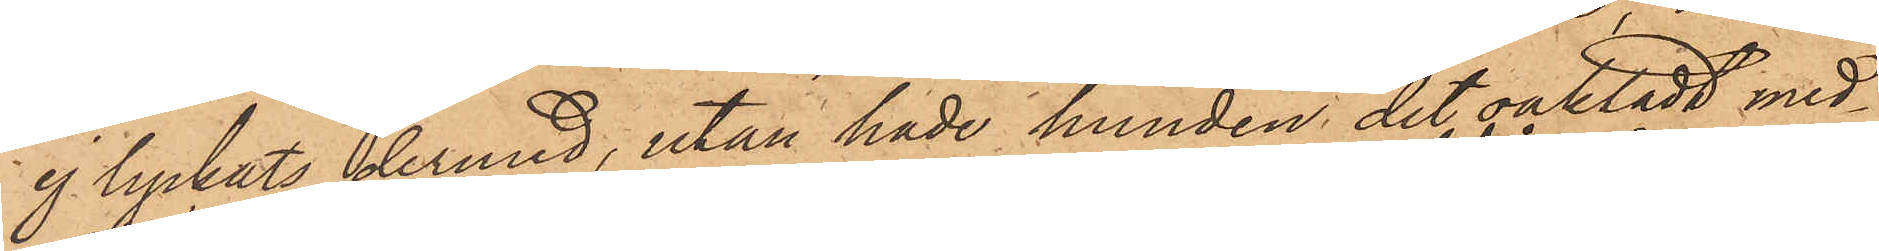ej lyckats dermed, utan hade hunden det oaktadt med¬
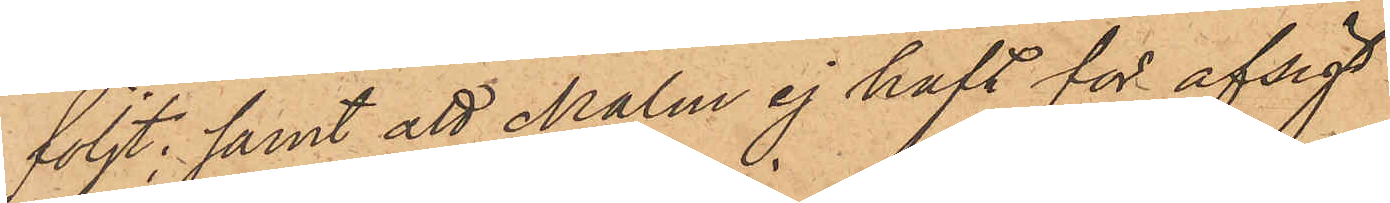följt; samt att Malm ej haft för afsigt
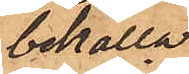behålla
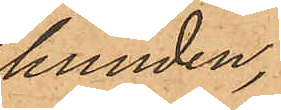hunden,
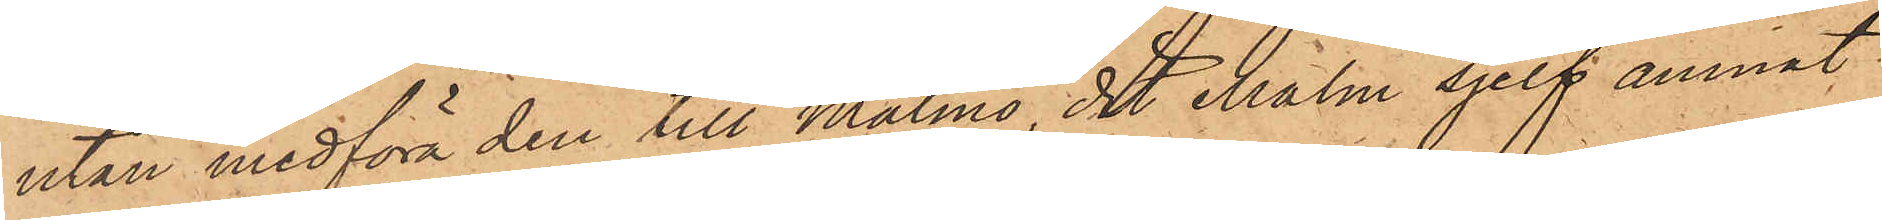utan medföra den till Malmö, dit Malm sjelf ämnat
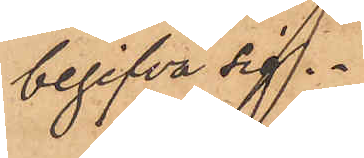begifva sig.
